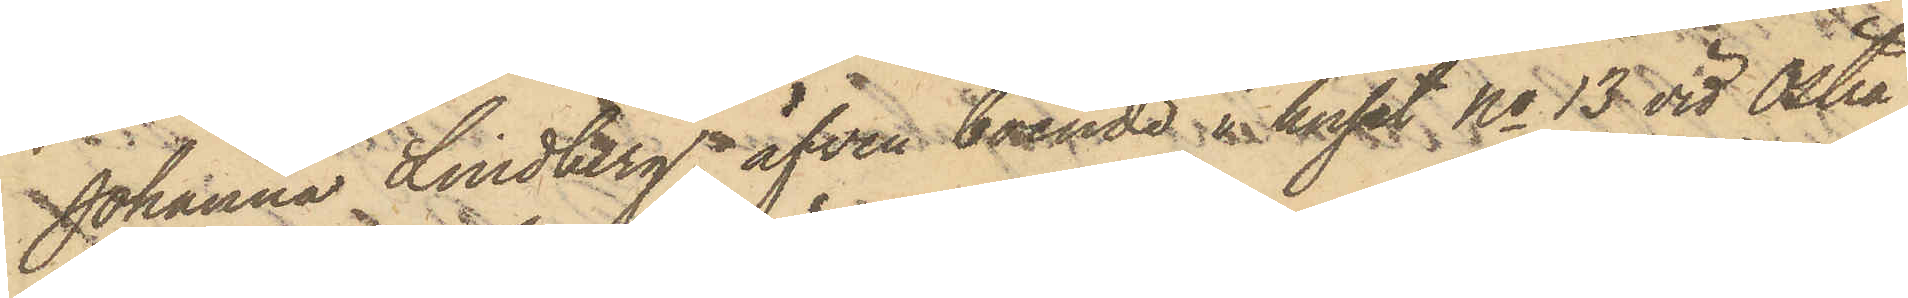Johanna Lindberg, äfven boende i huset No 13 vid Östra
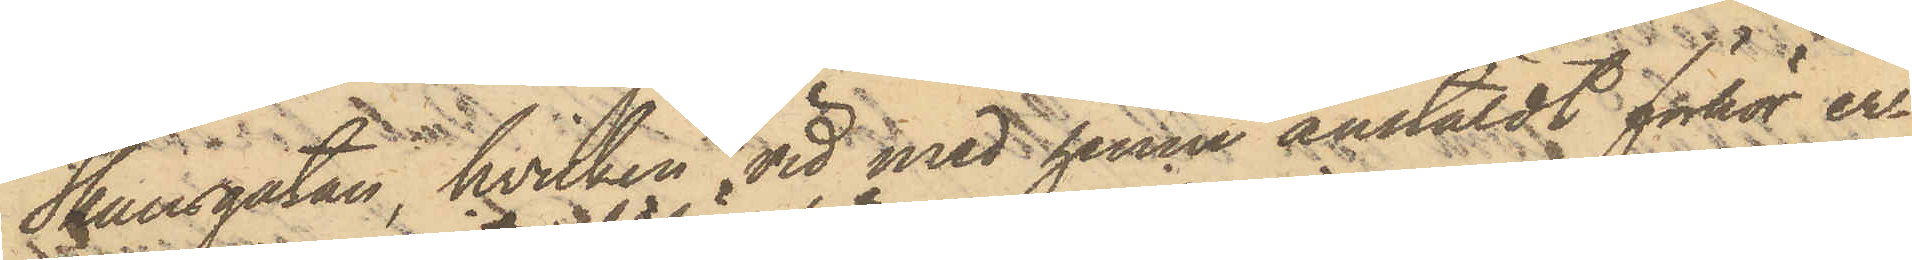Skansgatan, hvilken vid med henne anstäldt förhör er¬
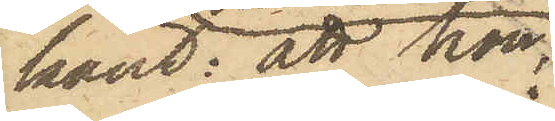känt: att hon
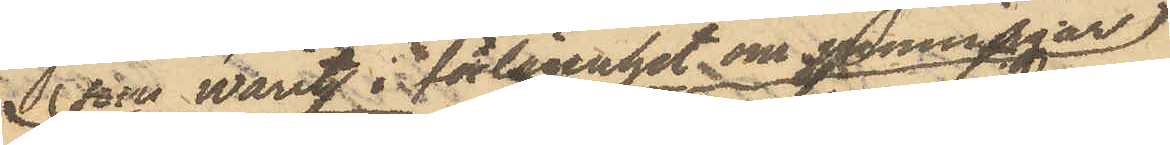som varit warit i förlägenhet om penningar
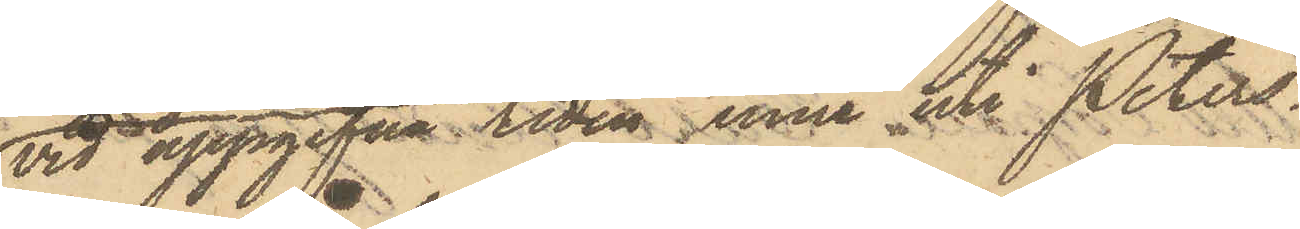vid uppgifna tiden inne uti Peters¬
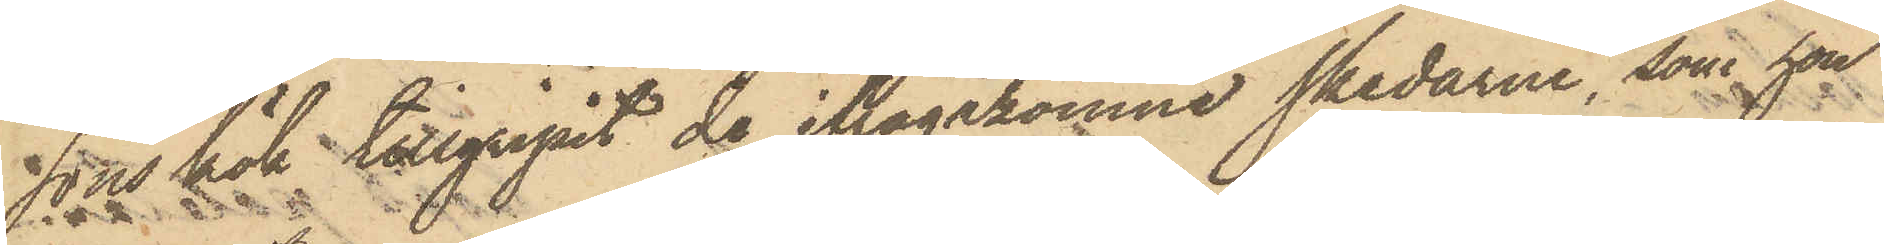sons kök tillgripit de ifrågakomne skedarne, som hon
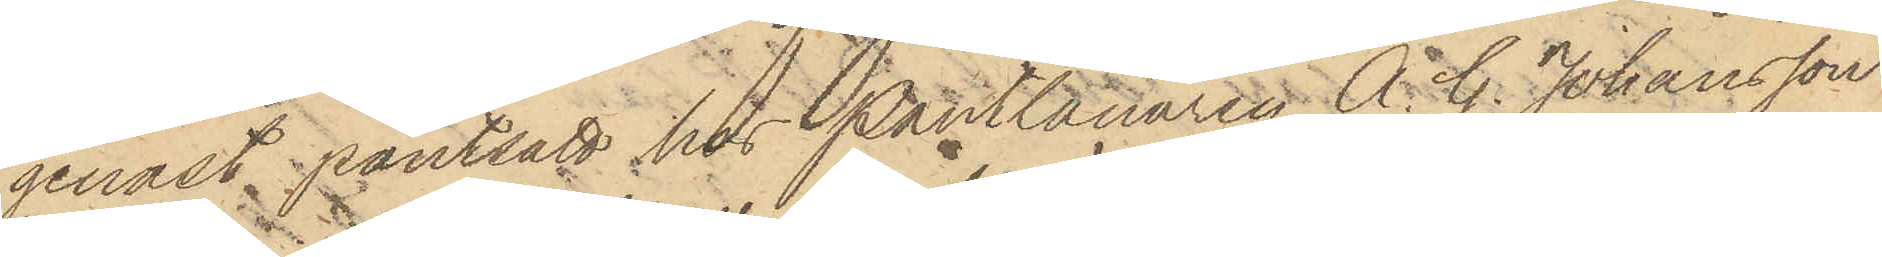genast pantsatt hos Pantlånaren A. G. Johansson
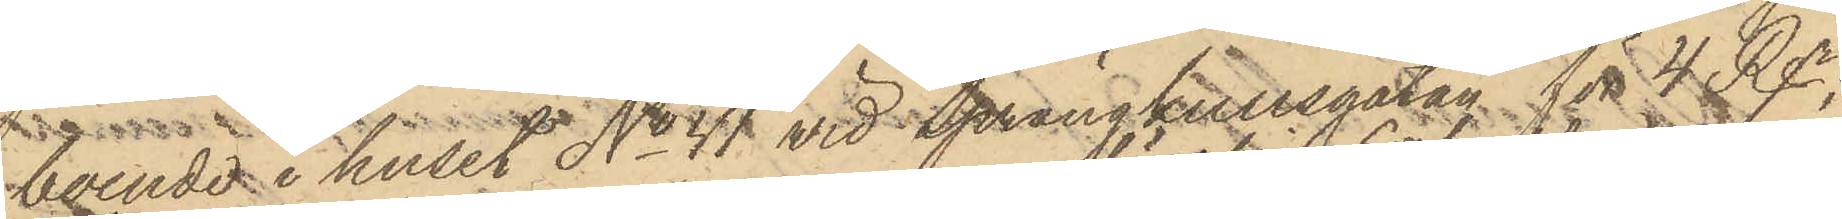boende i huset No 41 vid Sprängkullsgatan för 4 Rgr,
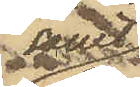samt
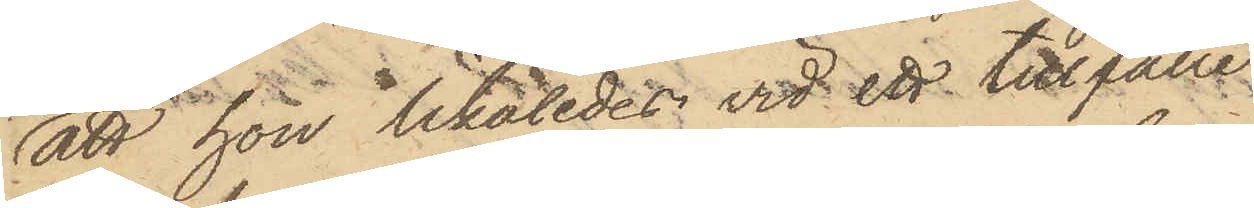att hon likaledes vid ett tillfälle
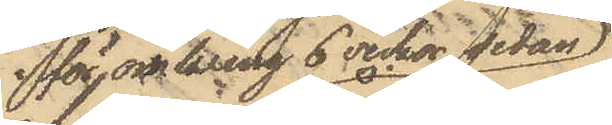för omkring 6 veckor sedan
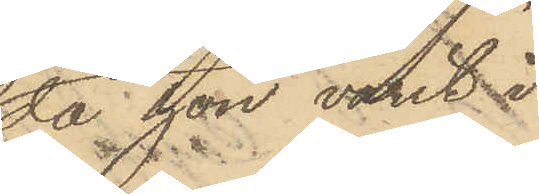då hon varit i
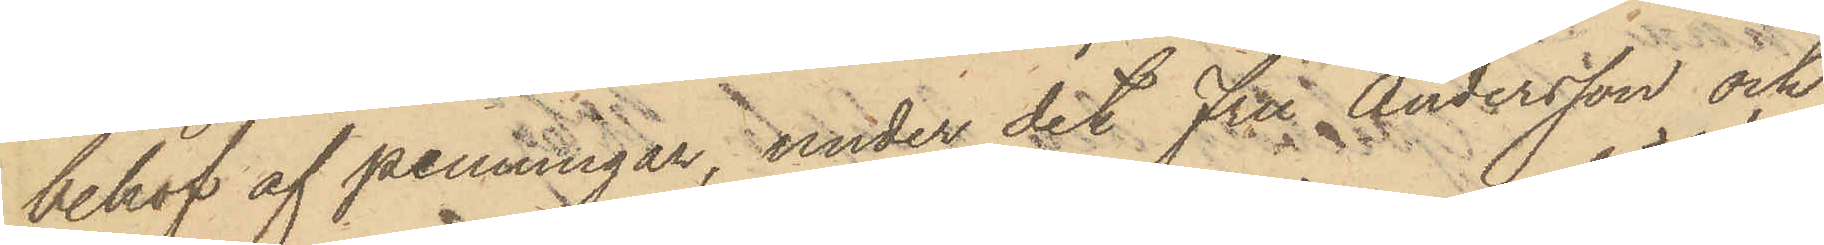behof af penningar, under det Fru Andersson och
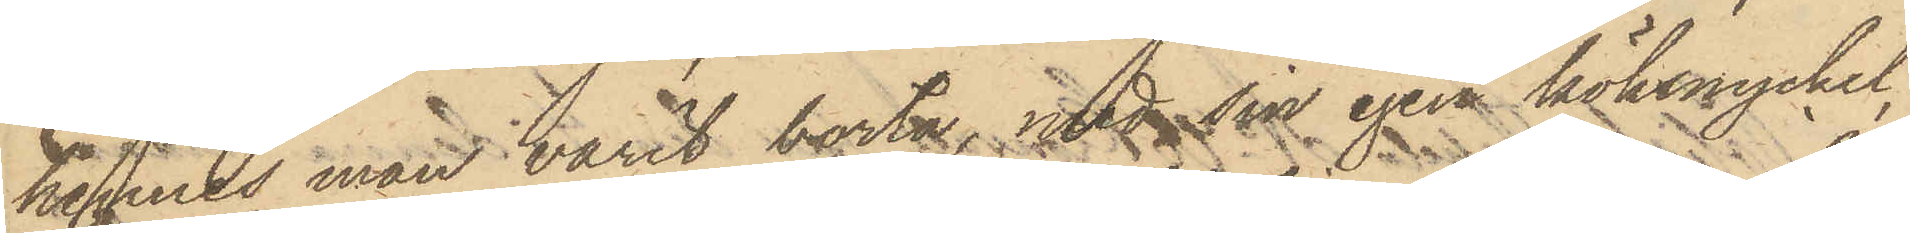hennes man varit borta, med sin egen köksnyckel,
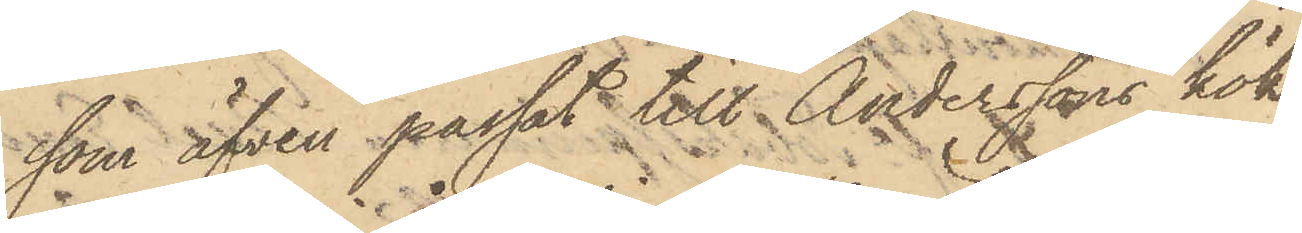som äfven passat till Anderssons kök,
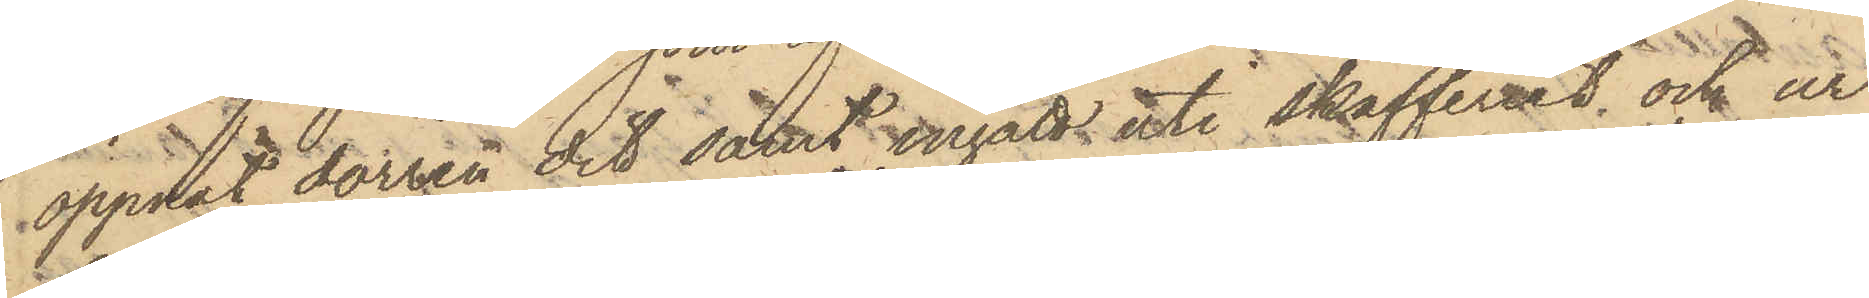öppnat dörren dit samt ingått uti skafferiet, och ur
